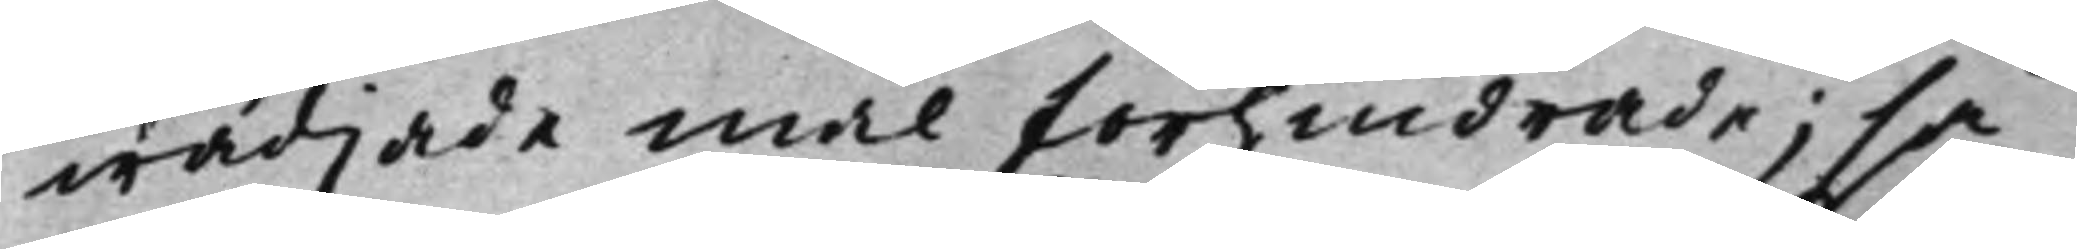wädjade mål förhindrade; så
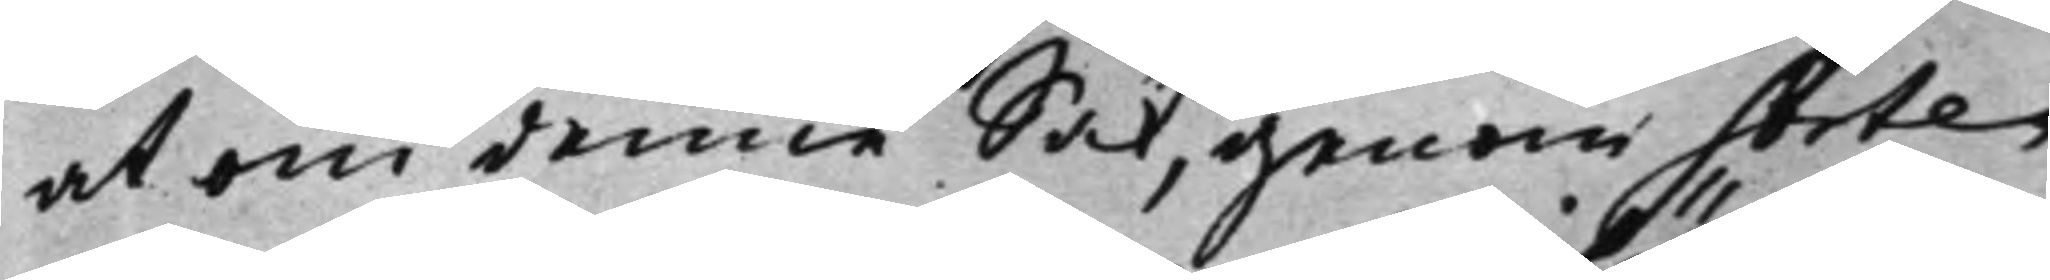at om denne Sak, genom Sorte¬
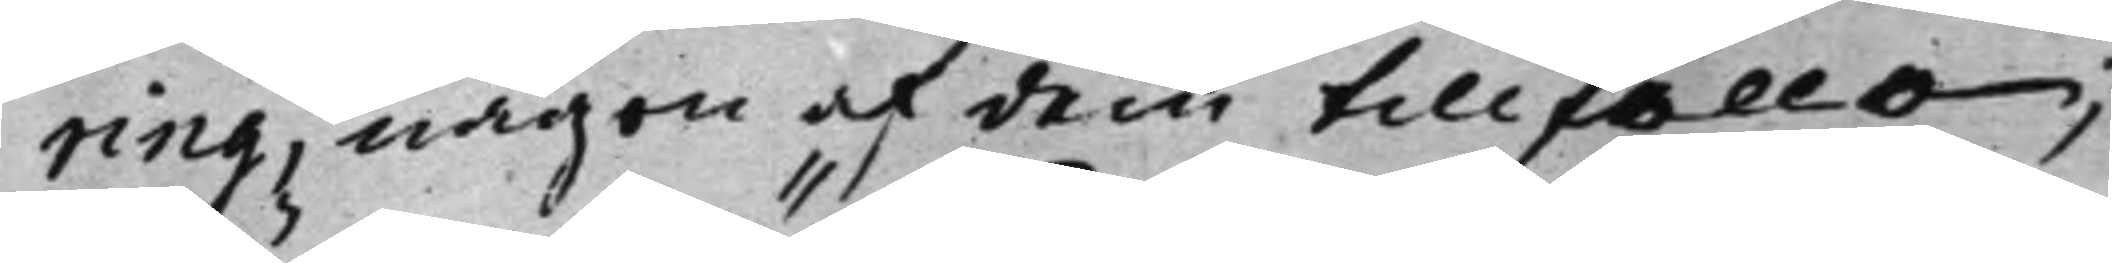ring, någon af dem tillföllo;
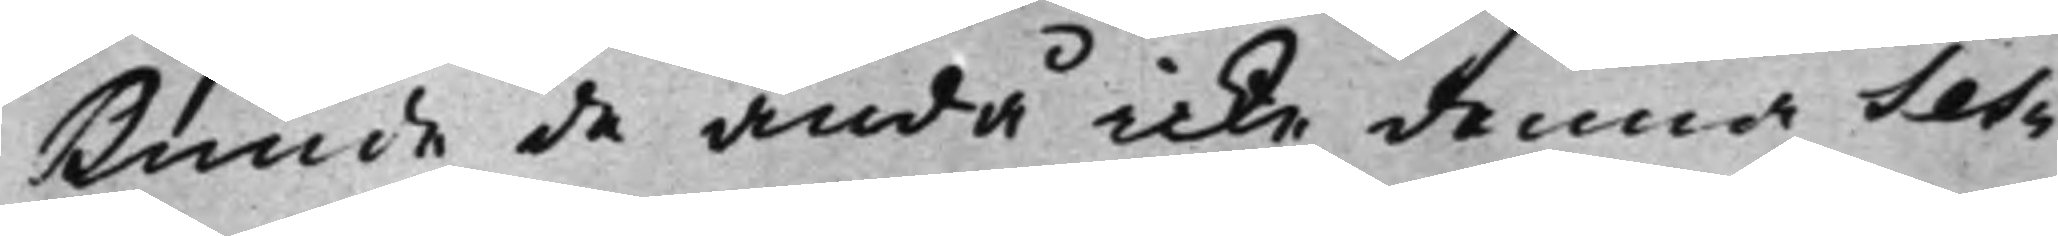kunde de ändå icke denna Ses¬
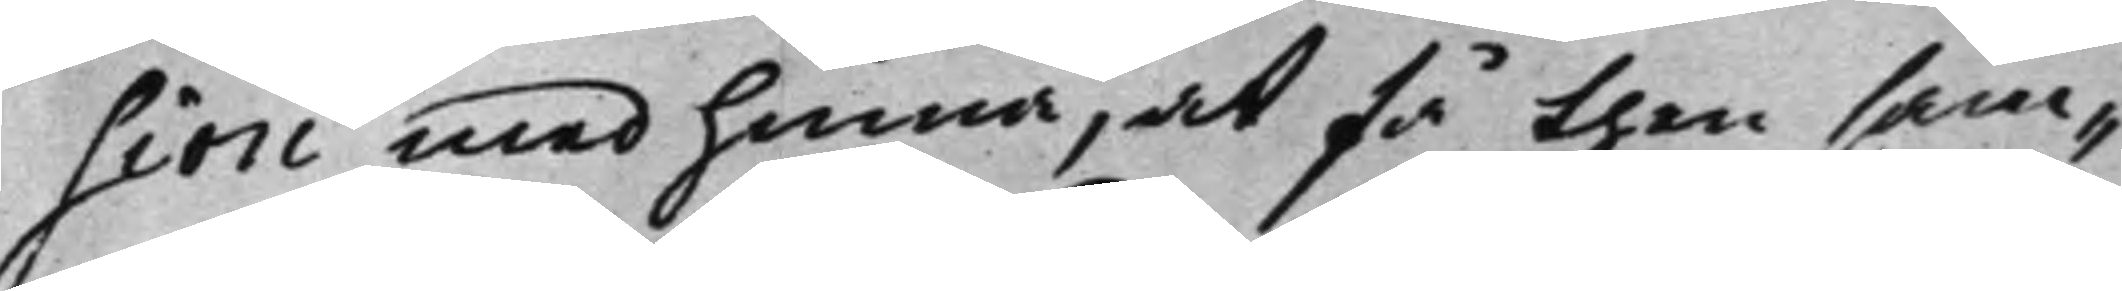sion med hinna, at få then sam¬
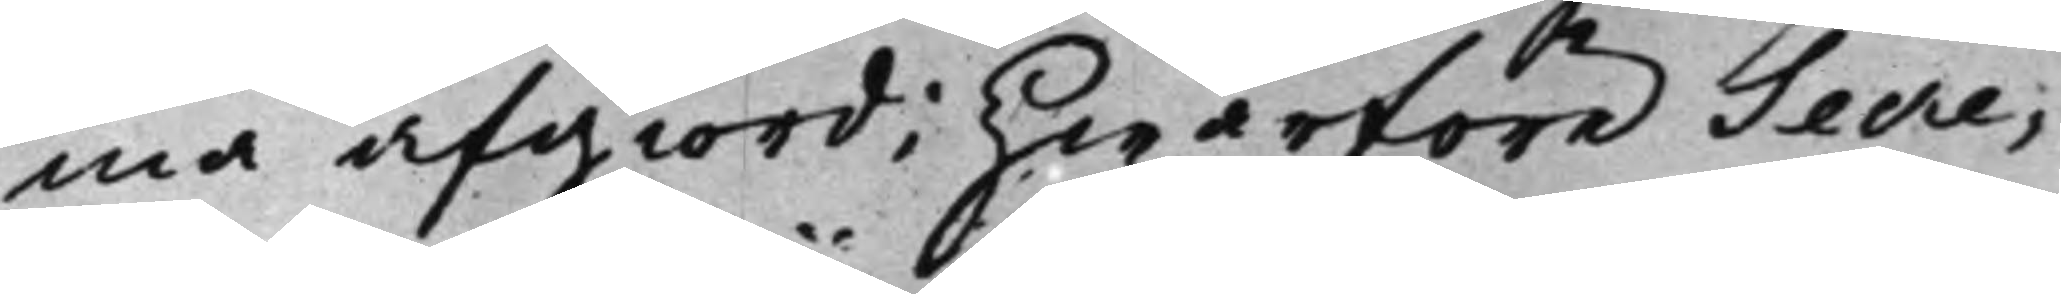ma afgiord; Hwarföre Secre¬
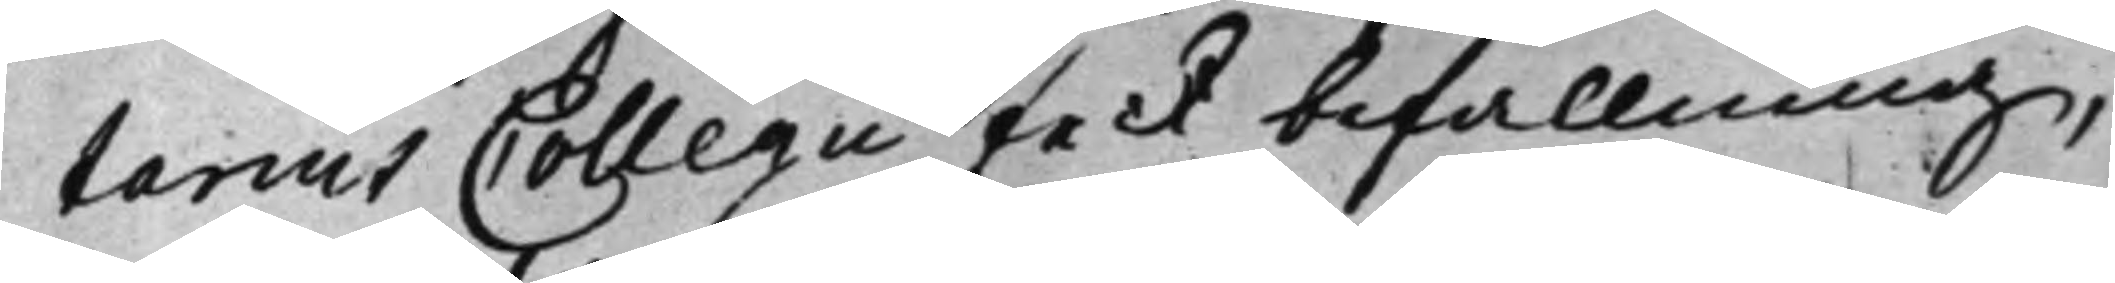tarius Collegii feck befallning,
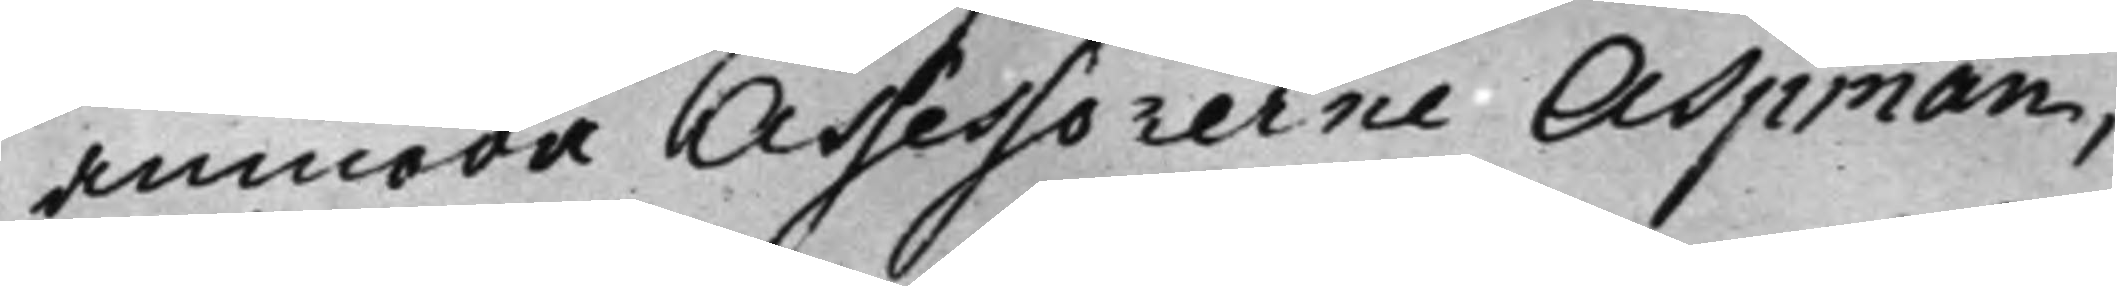anmoda Assessorerne Aspman,
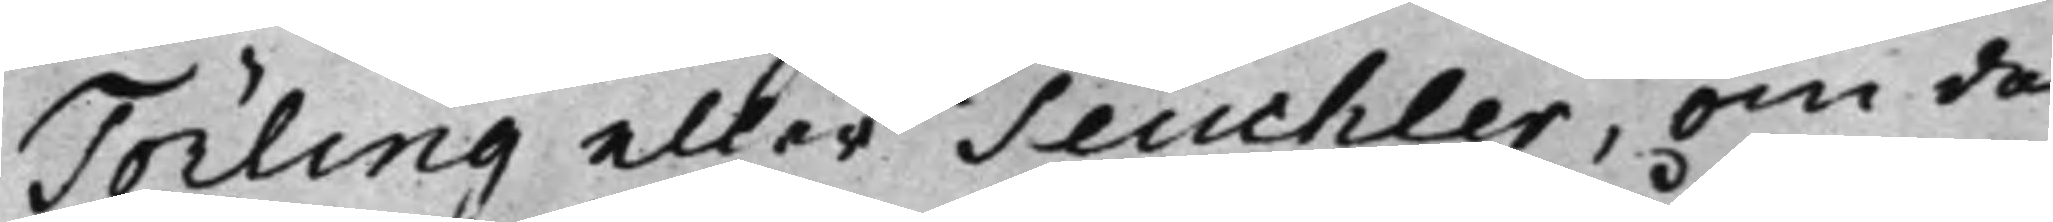Törling eller Teuchler, om de
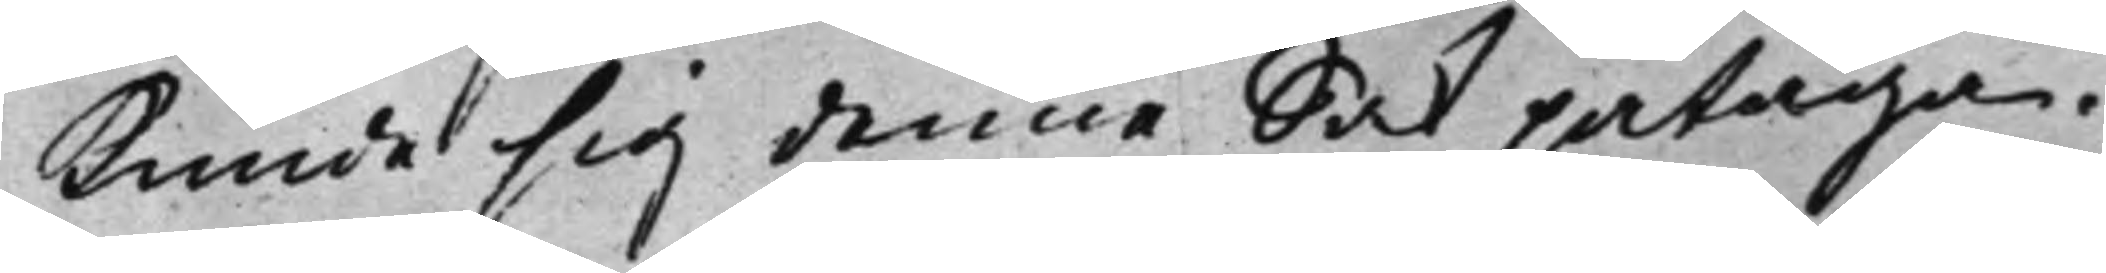kunde sig denne Sak påtaga.
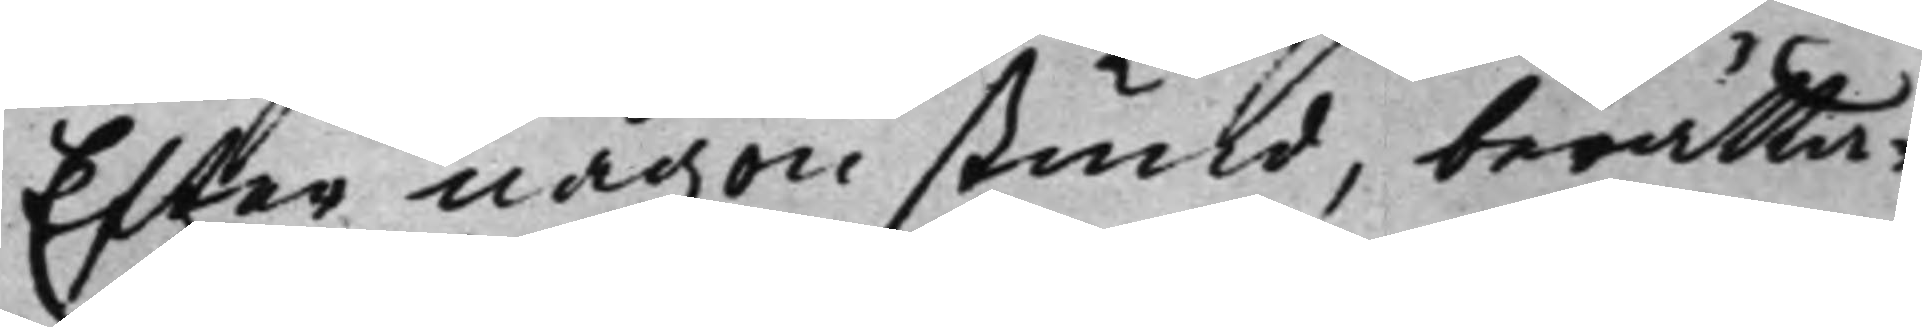Efter någon stund, berätta¬
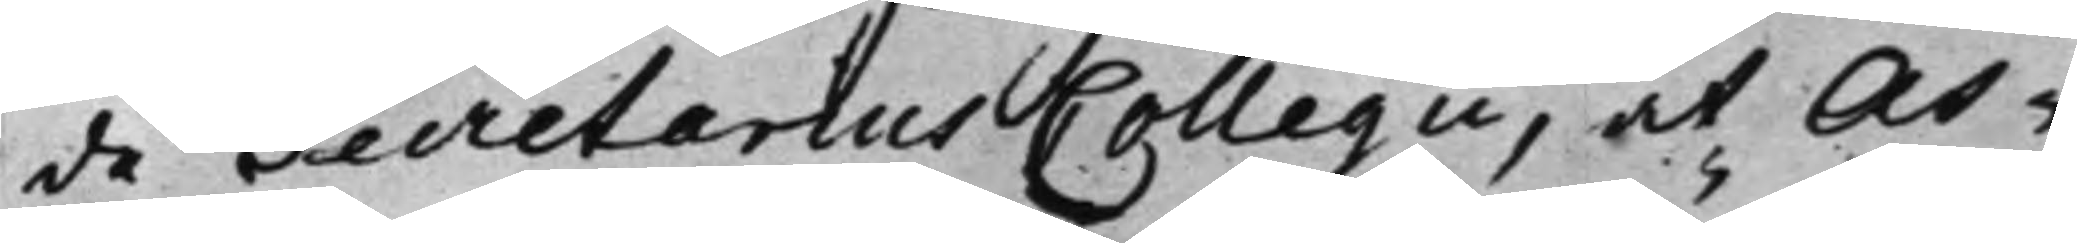de Secretarius Collegii, at As¬
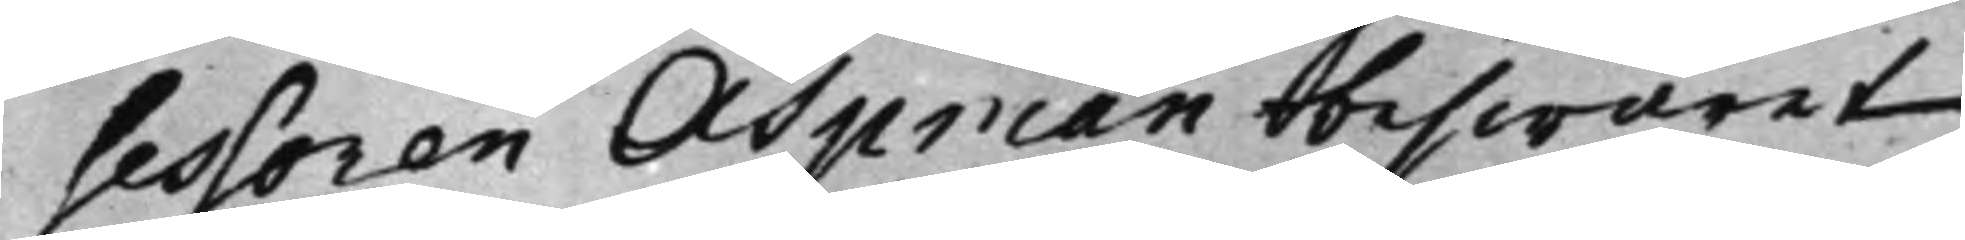sessoren Aspman beswäret
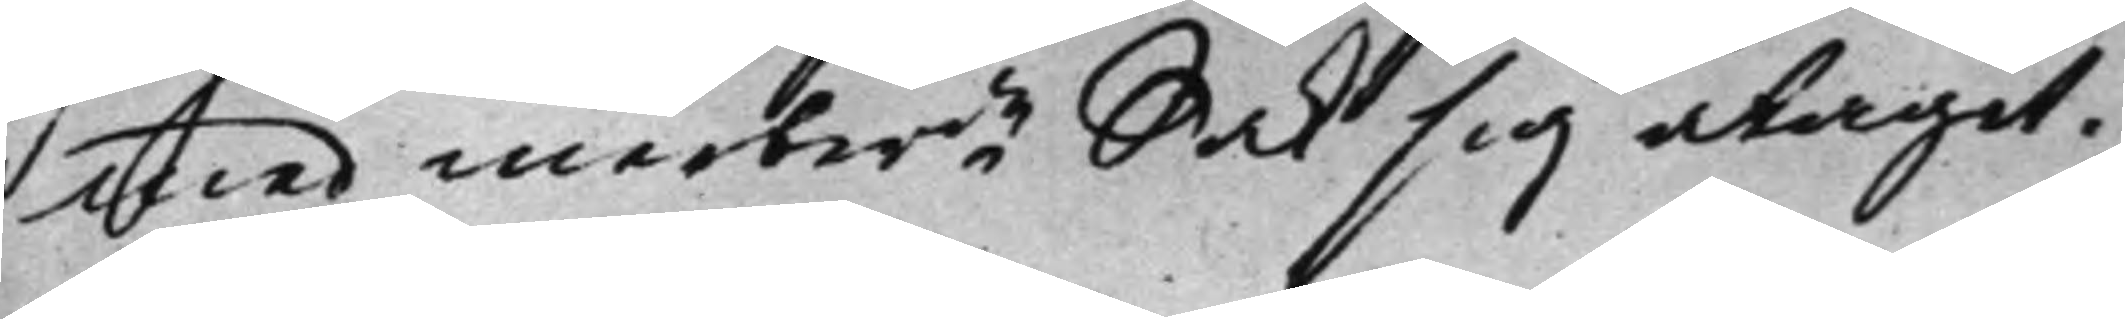med merberde Sak sig åtagit.
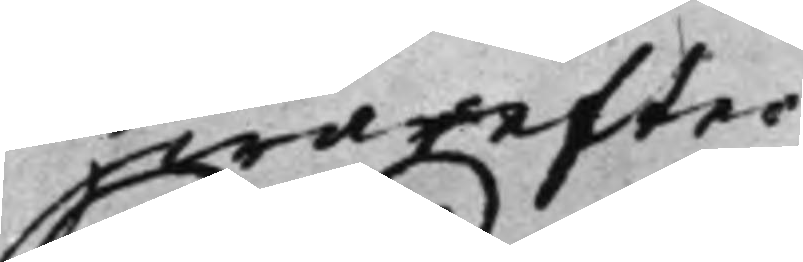Hwarefter
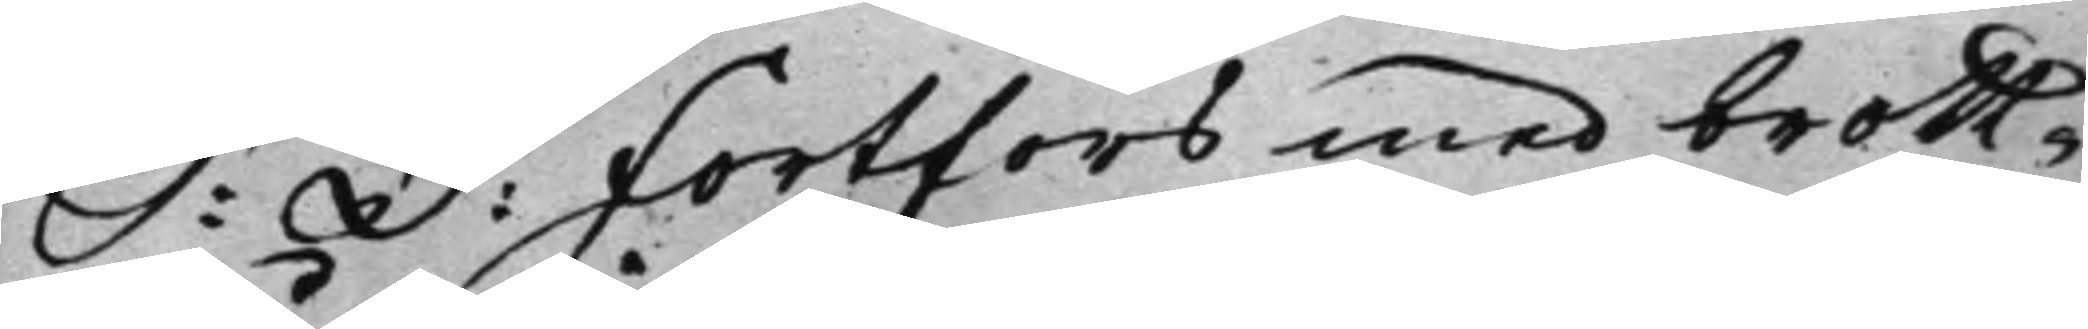S: D: Fortfors med brott¬
